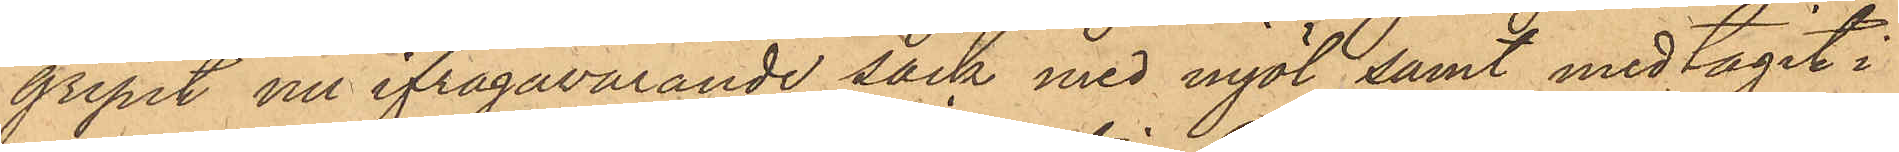gripit nu ifrågavarande säck med mjöl samt medtagit i
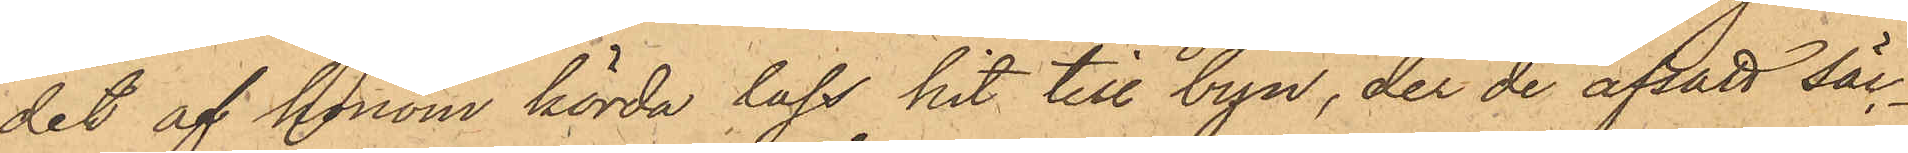det af honom körda lass hit till byn, der de afsatt säc¬
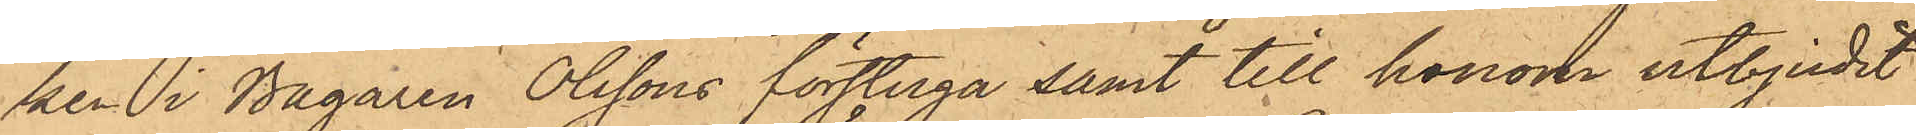ken i Bagaren Olssons förstuga samt till honom utbjudit
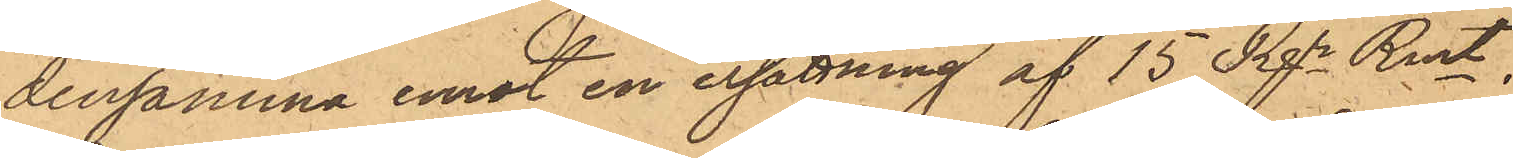densamma emot en ersättning af 15 Rgr Rmt,
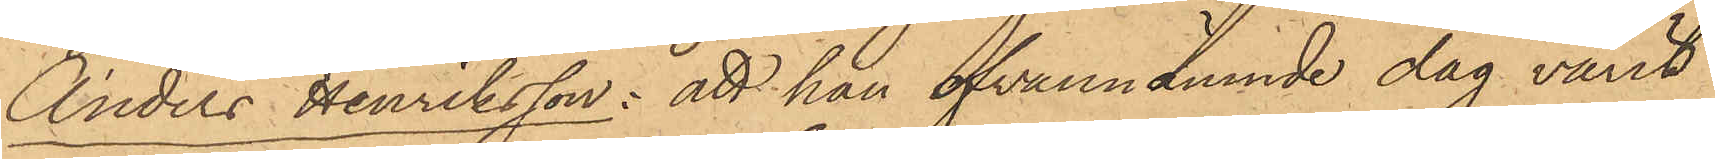Anders Henriksson: att han ofvannämnde dag varit
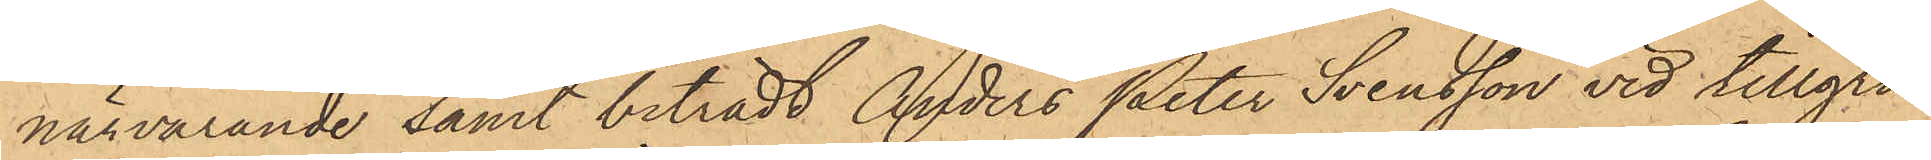närvarande samt biträdt Anders Peter Svensson vid tillgri¬
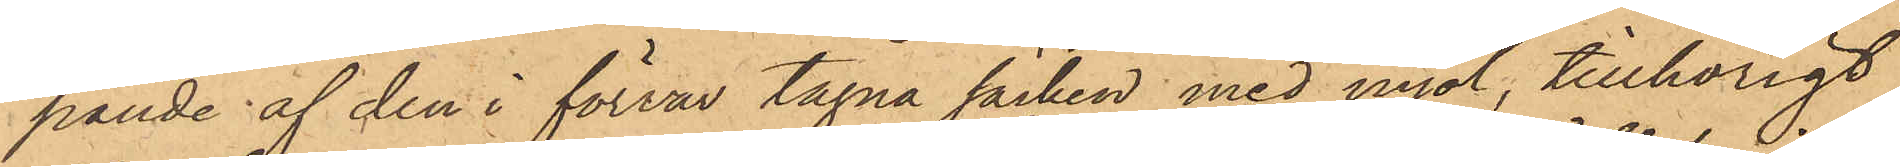pande af den i förvar tagna säcken med mjöl, tillhörigt
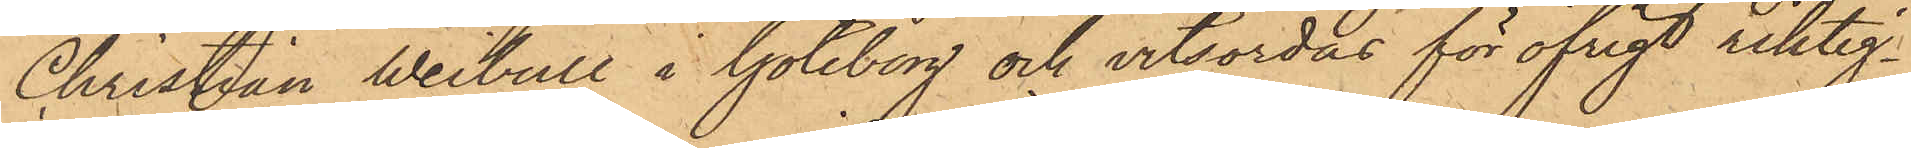Christian Weibull i Göteborg och vitsordar för öfrigt riktig¬
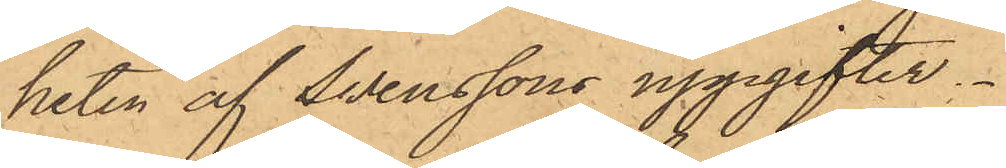heten af Svenssons uppgifter.
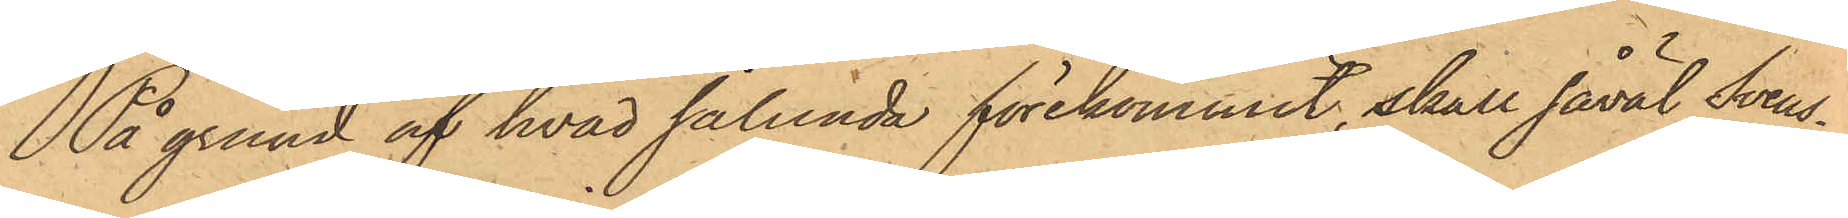På grund af hvad sålunda förekommit, skall såväl Svens¬
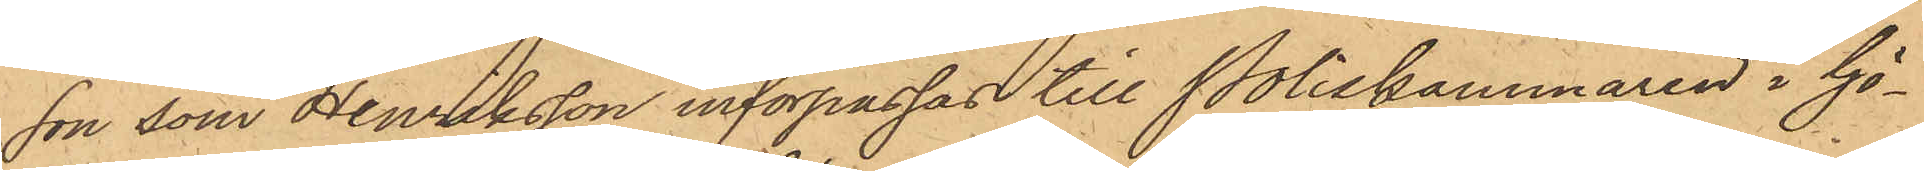son som Henriksson införpassas till Poliskammaren i Gö¬
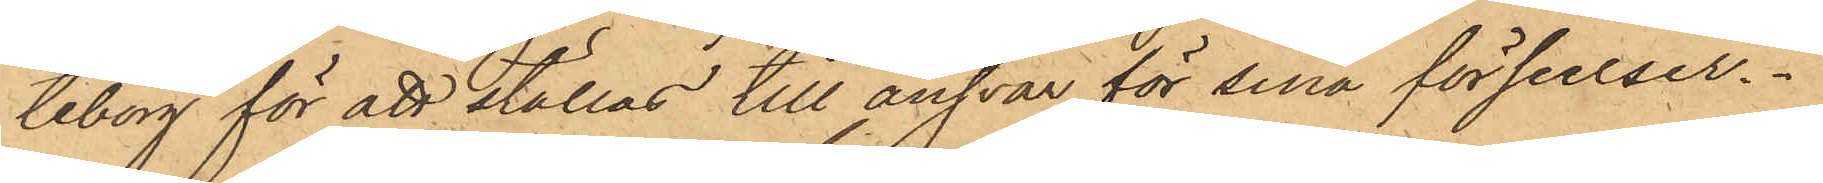teborg för att ställas till ansvar för sina förseelser.
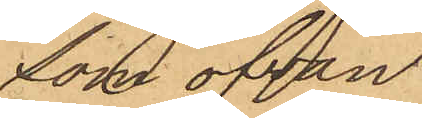Som ofvan
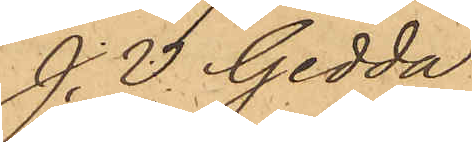J. V. Gedda
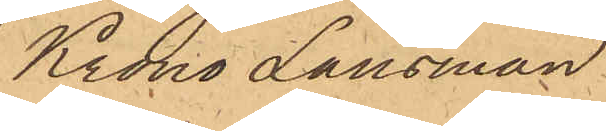Krono Länsman.
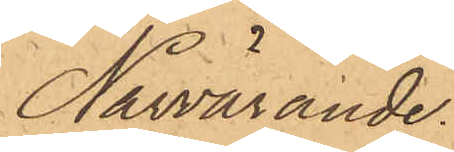Närvarande.
